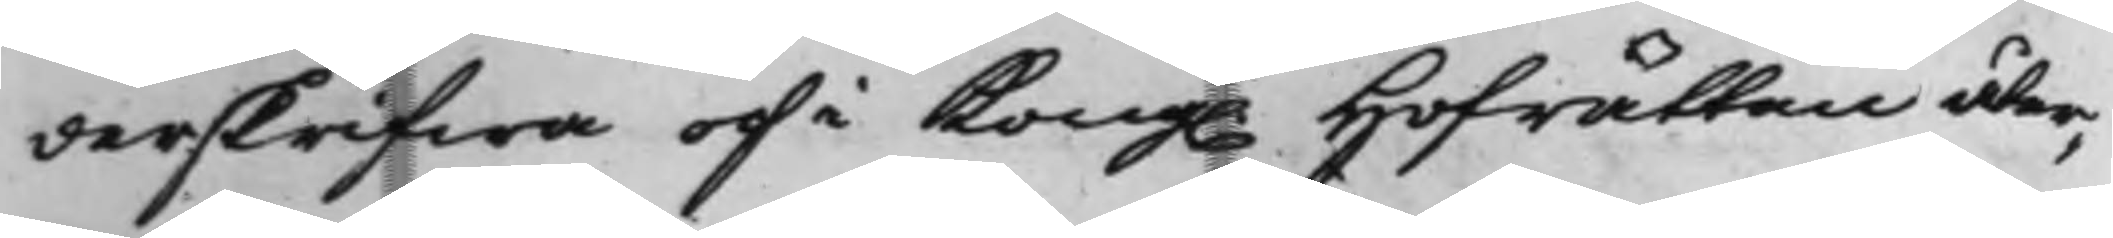derskrifwa och i Kong. Hofrätten åter¬
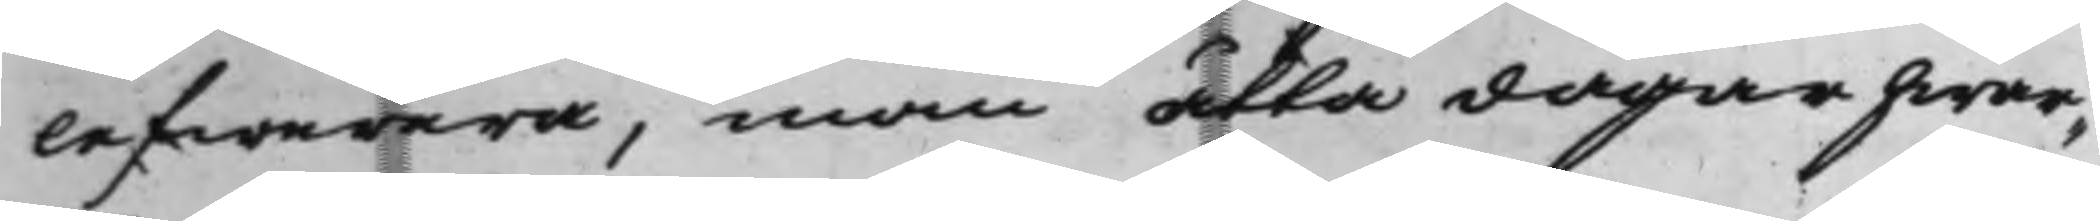lefwerera, inom åtta dagar hwar¬
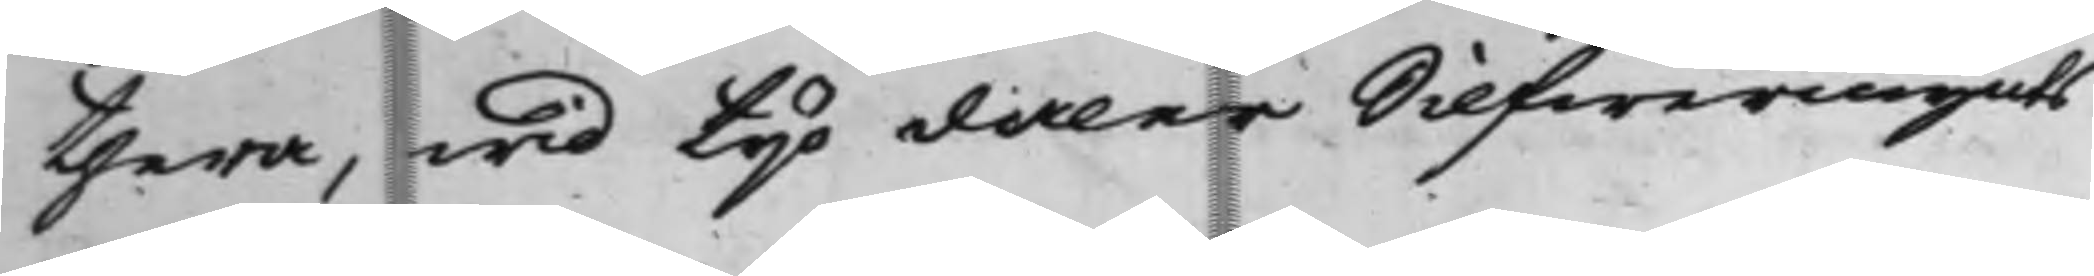thera, wid tijo daler Silfwermynts
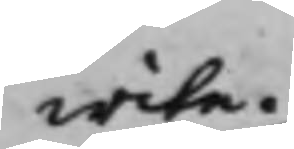wite.
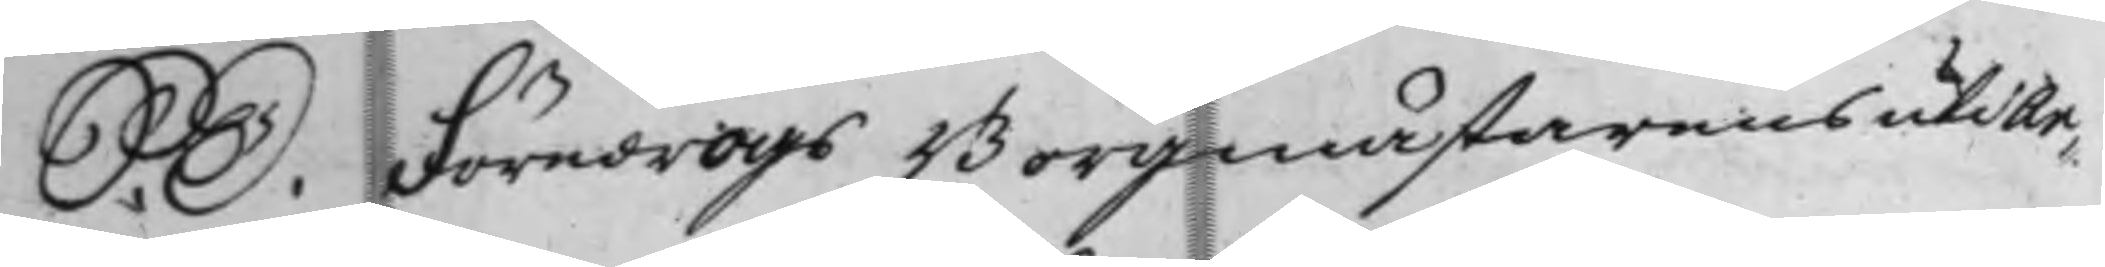S. D. Föredrogs Borgmästarens uti Ar¬
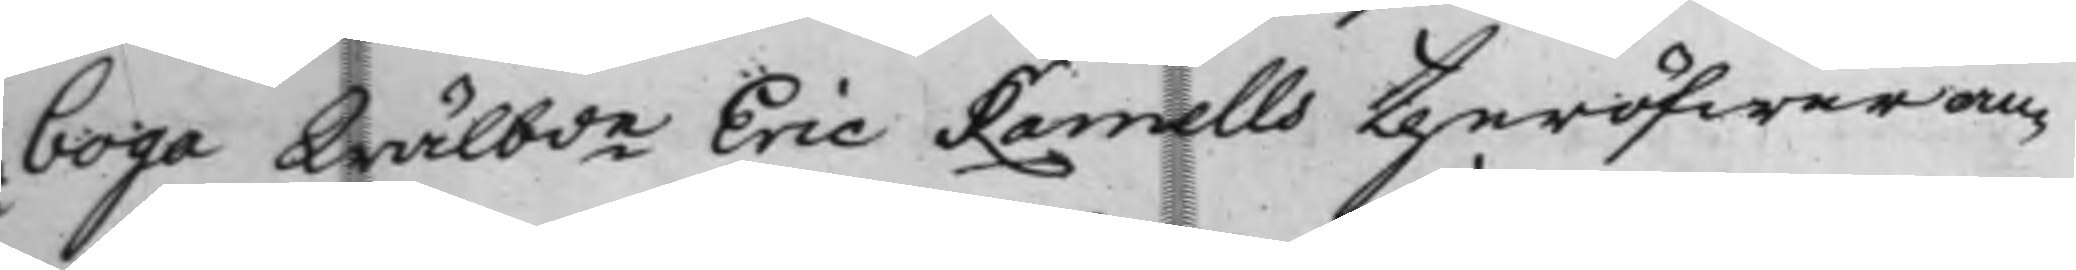boga Wälbde Eric Ramells theröfwer an¬
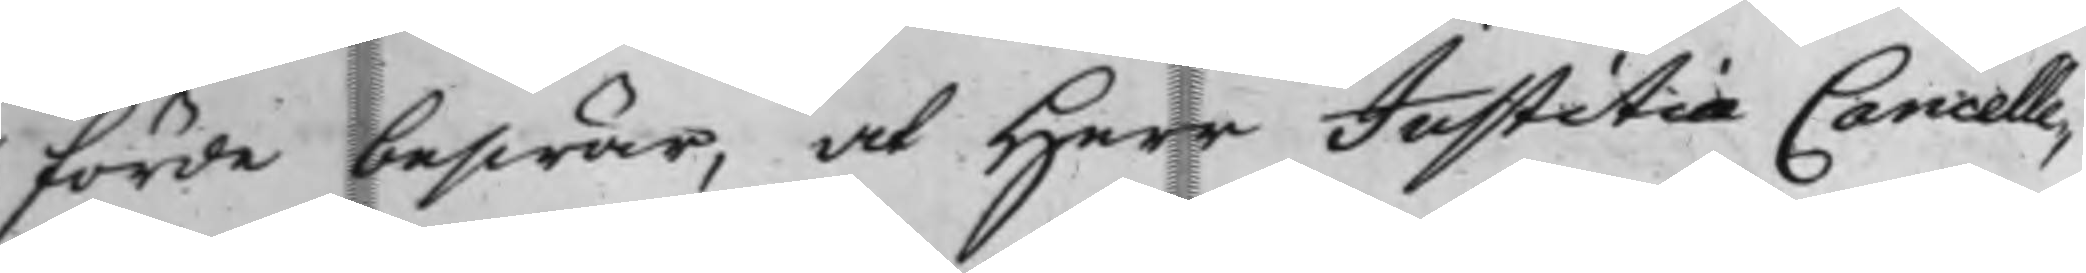förde beswär, at Herr Justitiæ Cancelle¬
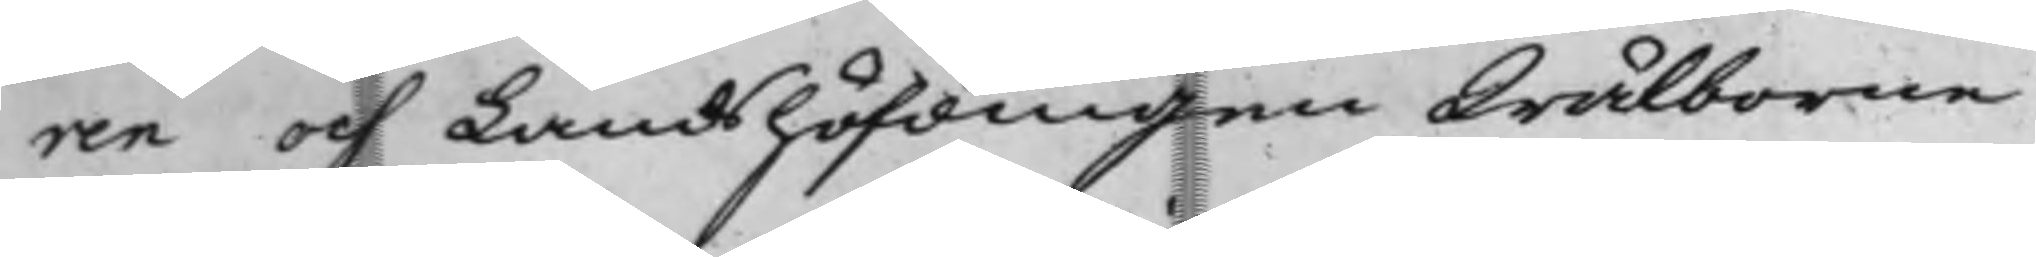ren och Landshöfdingen Wälborne
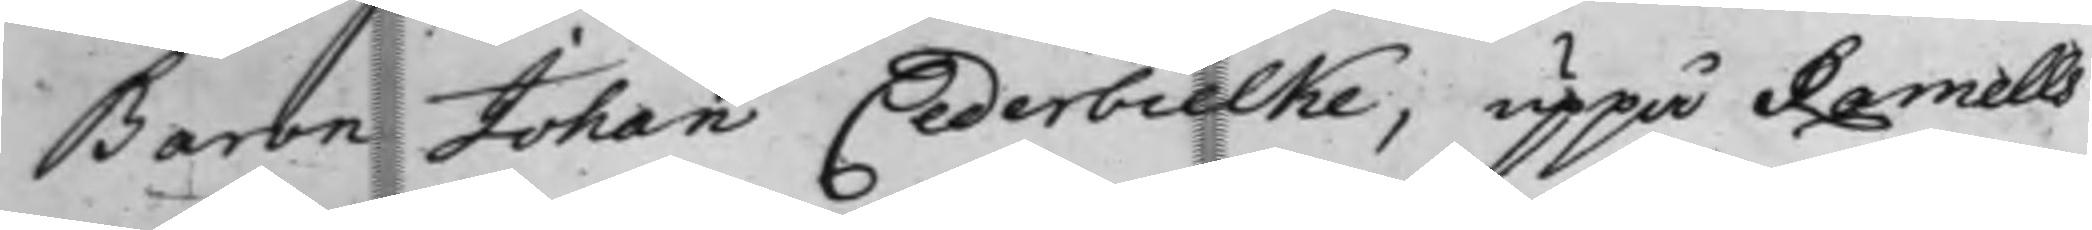Baron Johan Cederbielke, uppå Ramells
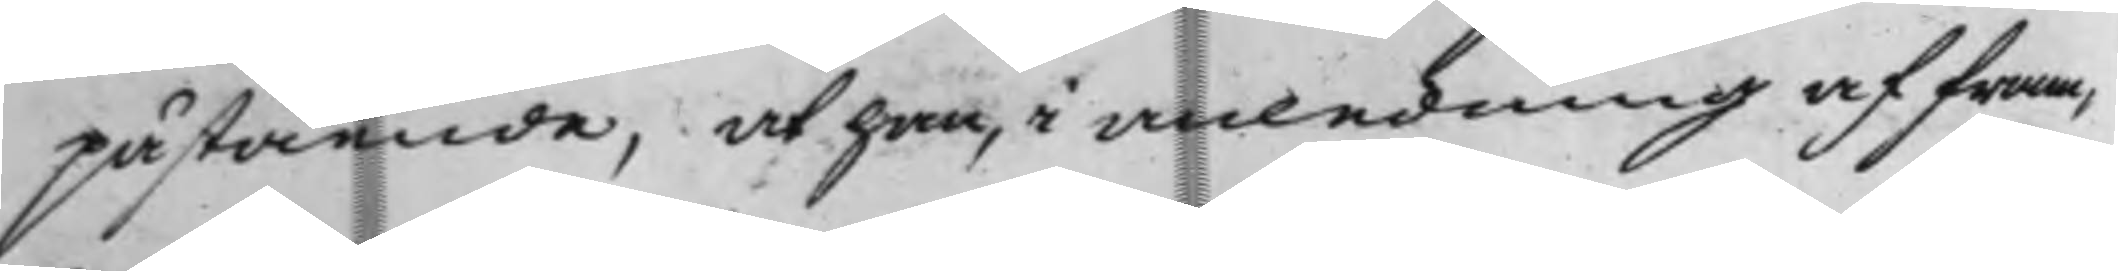påstående, at han, i anledning af fram¬
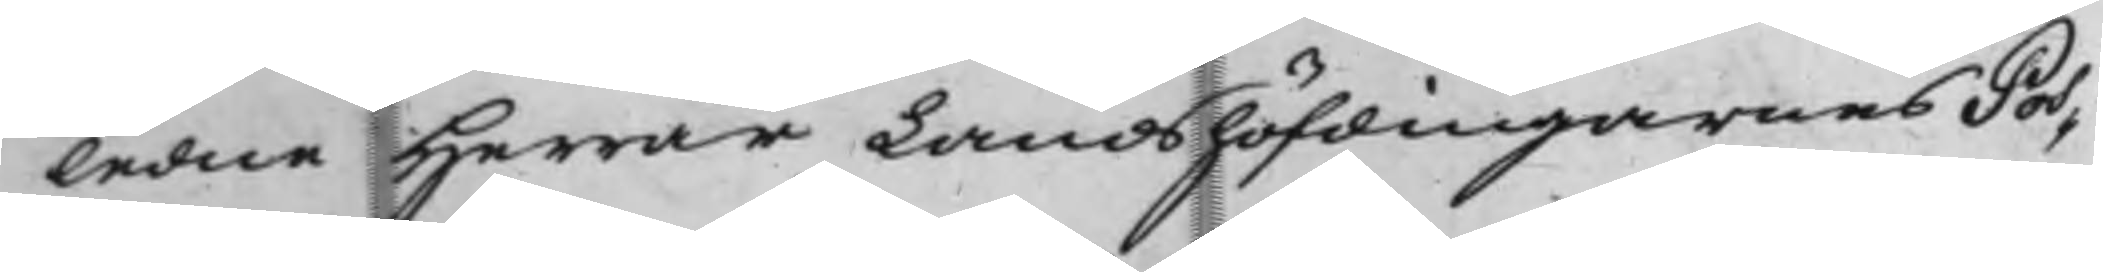ledne Herrar Landshöfdingarnes Pos¬
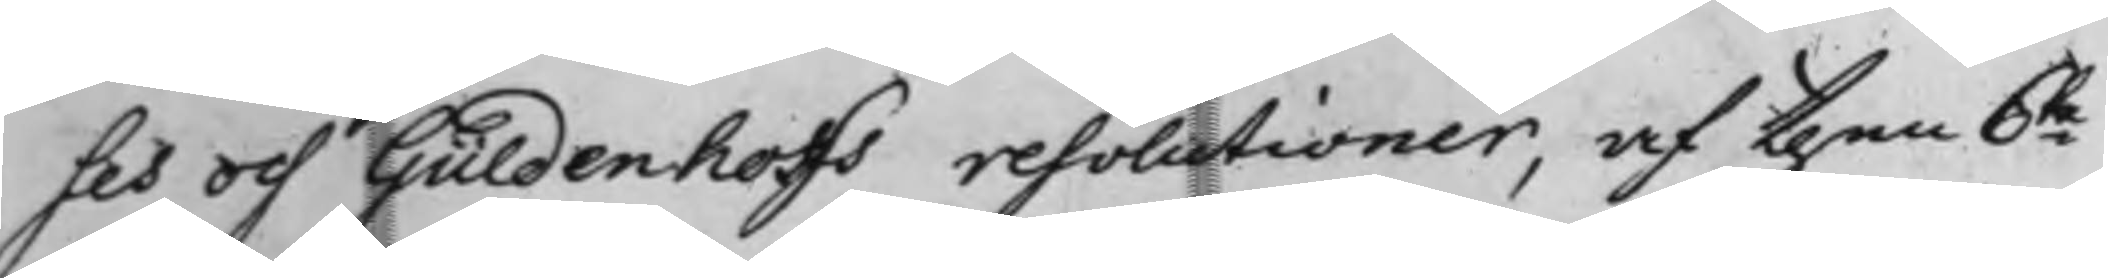ses och Güldenhoffs resolutioner, af then 6te
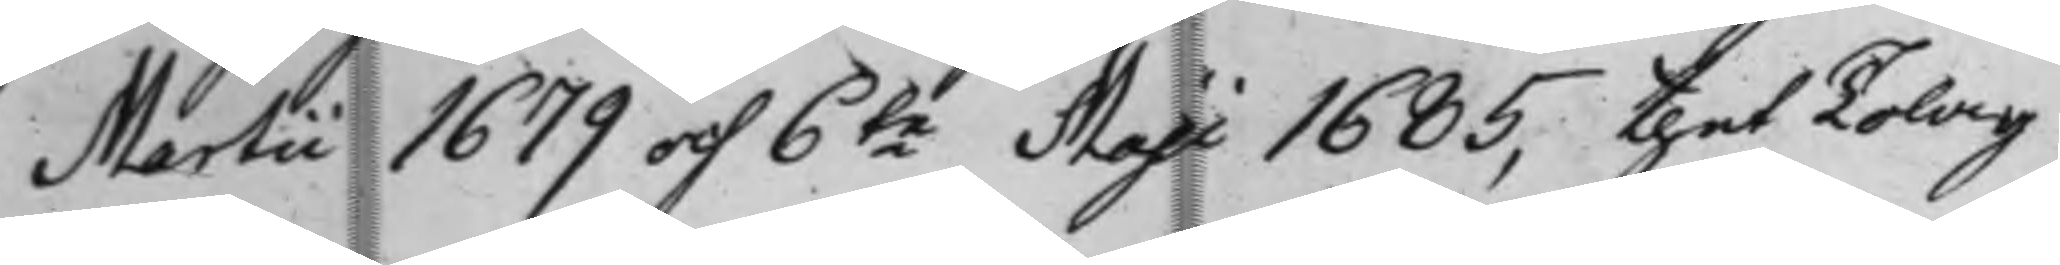Martii 1679 och 6te Maji 1685, thet Tolag
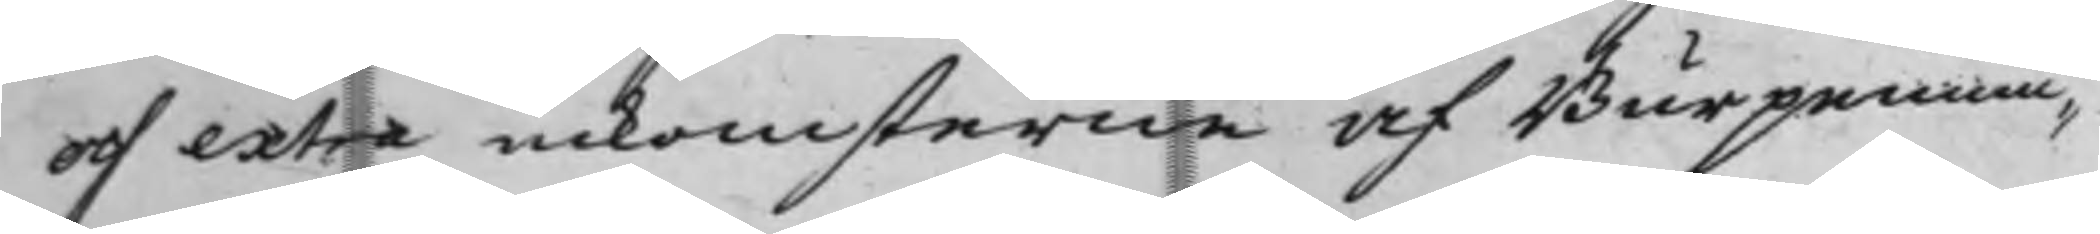och extra inkomsterne af Burpennin¬
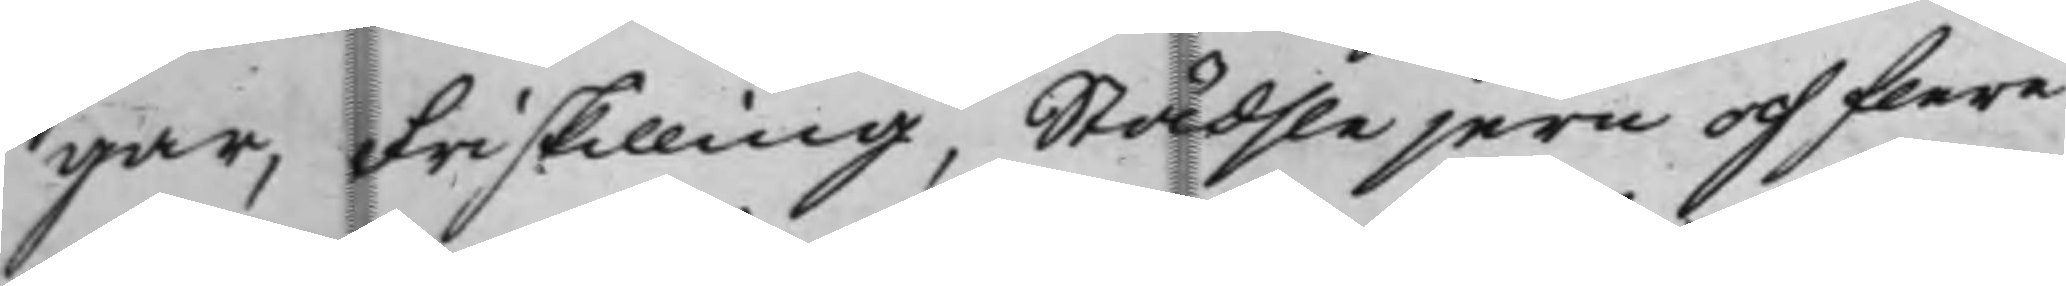gar, Friskilling, Städslejern och flere
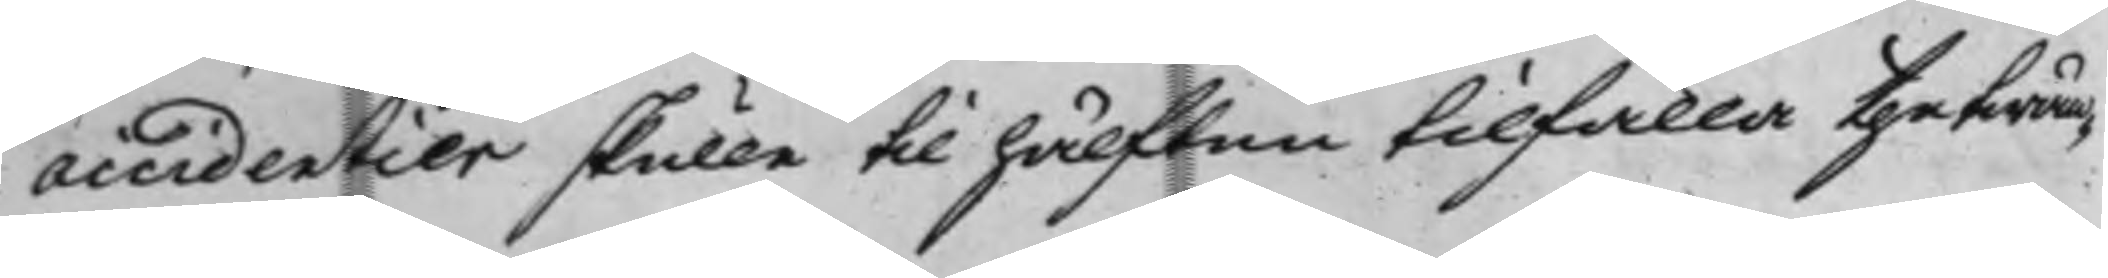accidentier skulle till hälften tilfalla the twän¬
